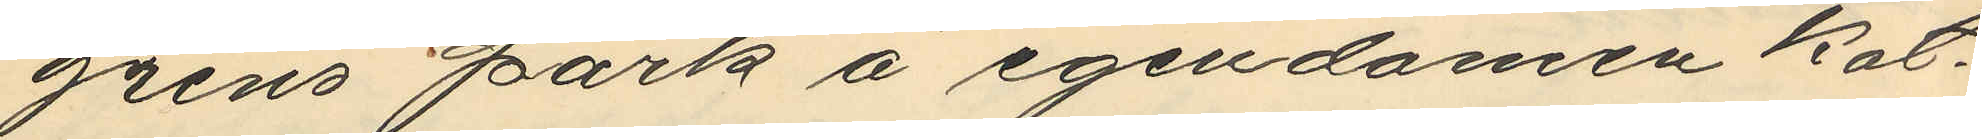grens park å egendomen kat¬
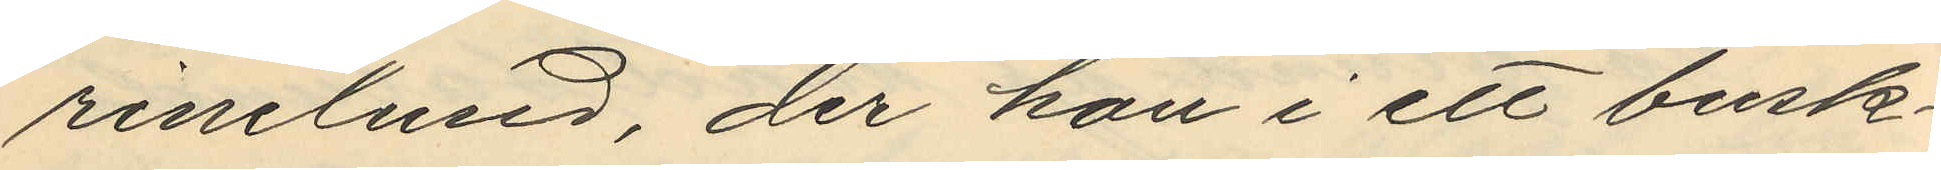rinelund, der hon i ett busk¬
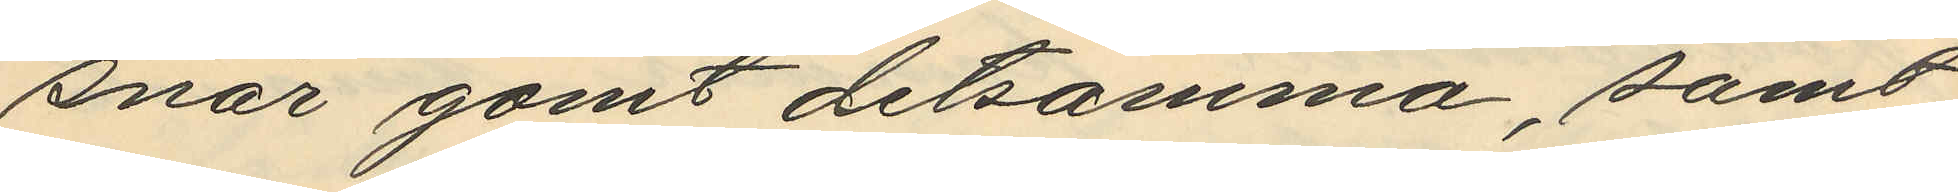snår gömt detsamma, samt
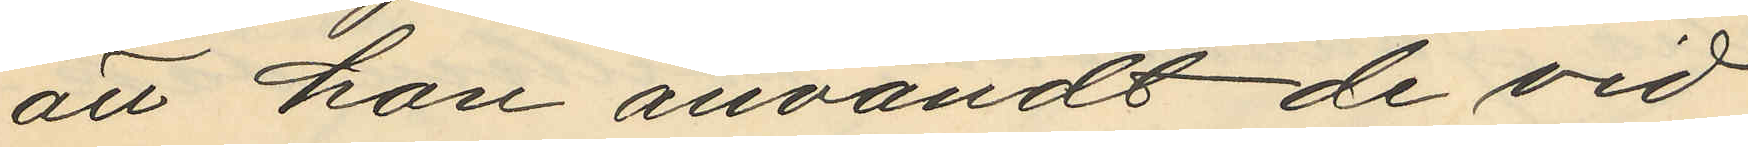att hon användt de vid
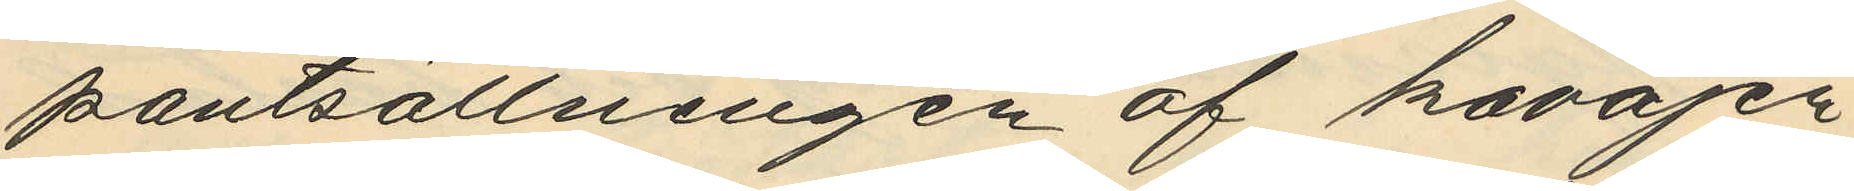pantsättningen af kavajen
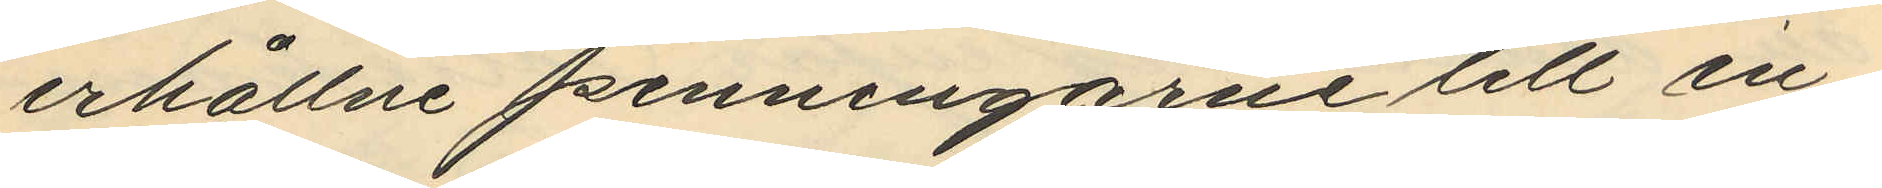erhållne penningarne till en
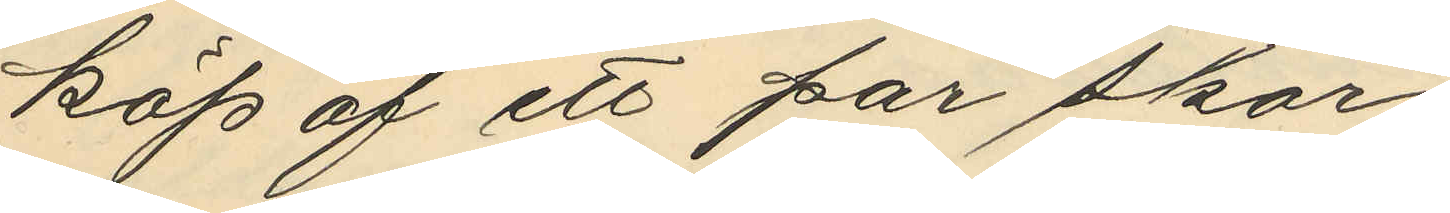köp af ett par skor
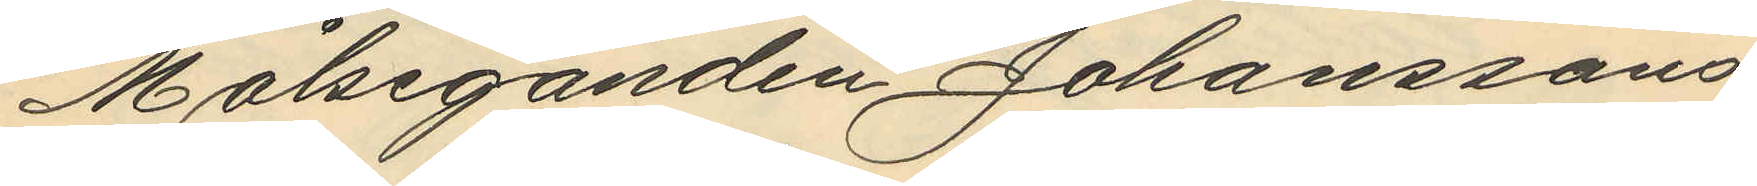Målseganden Johanssons
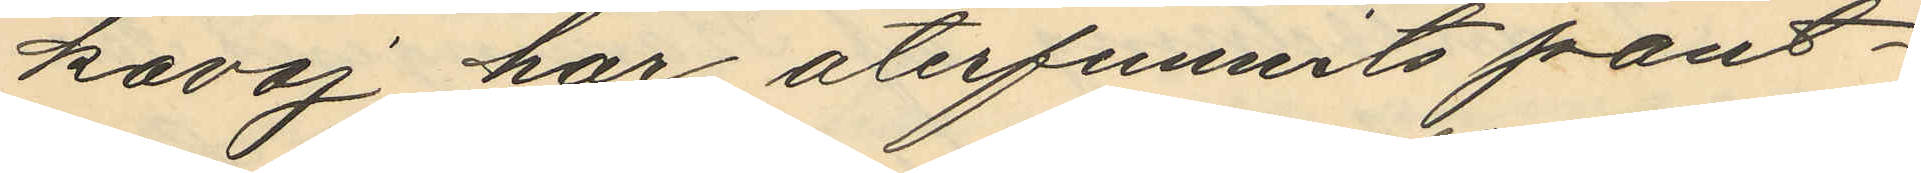kavaj har återfunnits pant¬
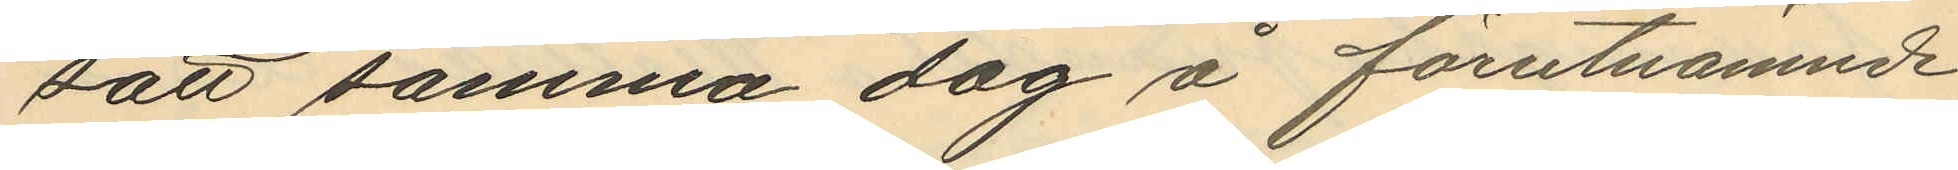sätt samma dag å förutnämnde
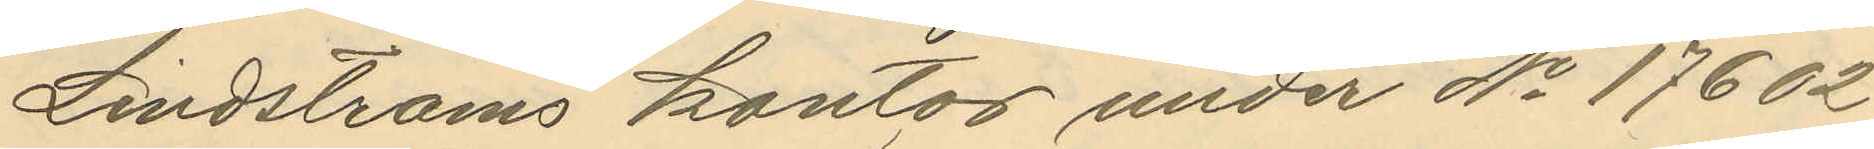Lindströms kontor under No 17602
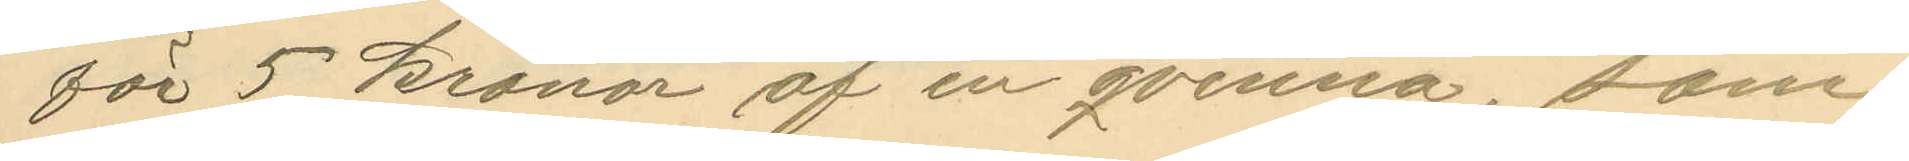för 5 kronor af en qvinna, som
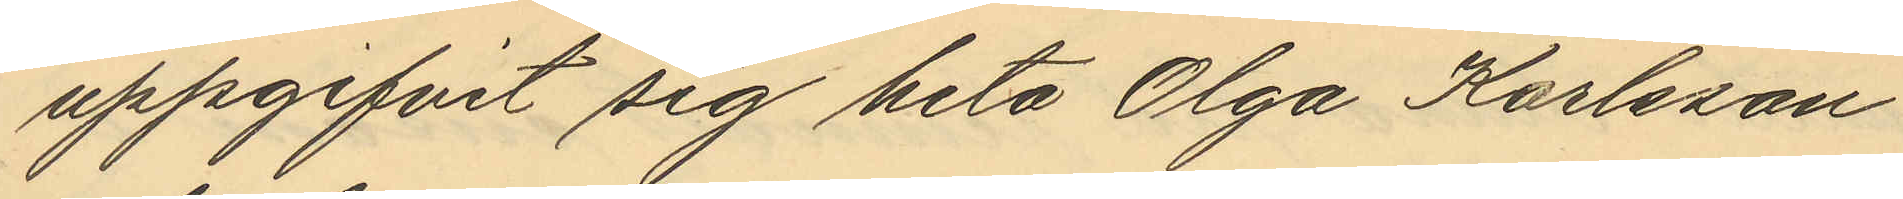uppgifvit sig heta Olga Karlsson
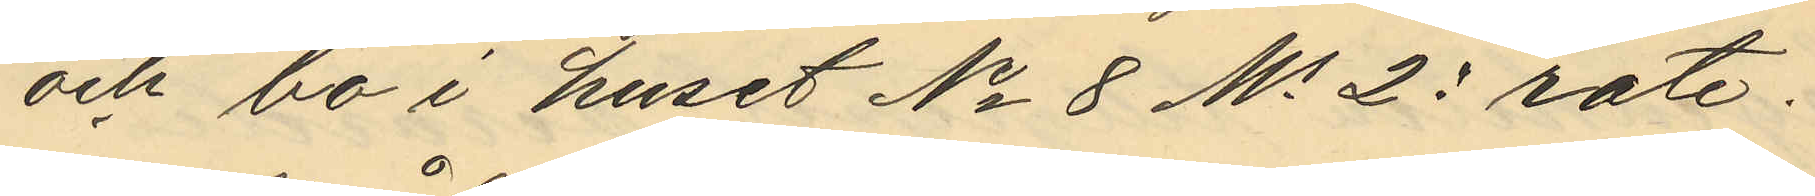och bo i huset No 8 No 23 rote;
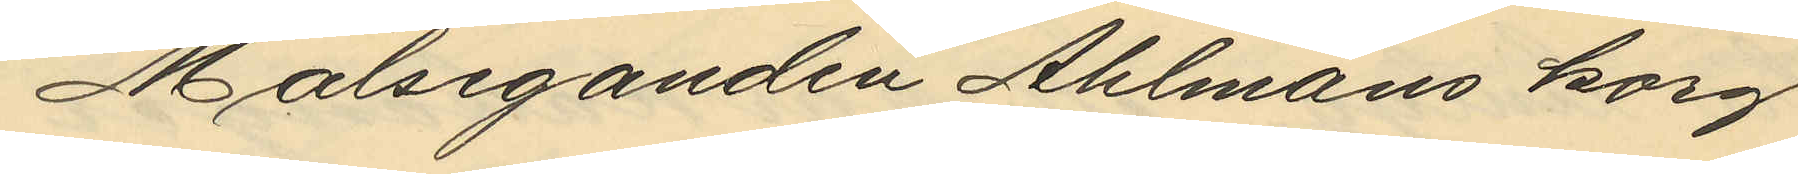Målseganden Ahlmans korg
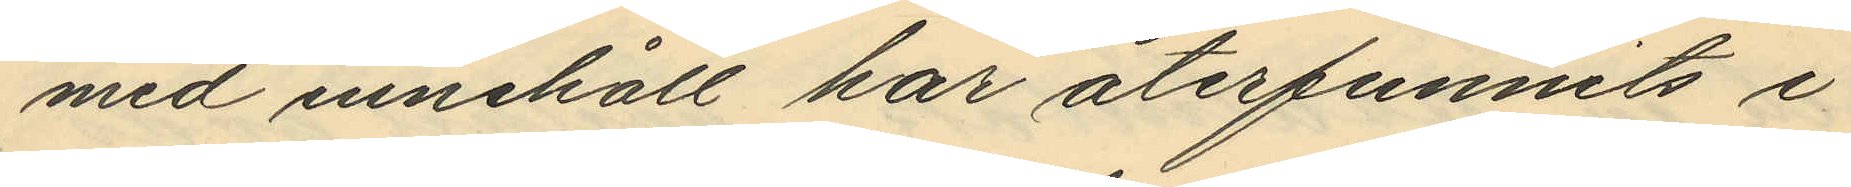med innehöll har återfunnits i
